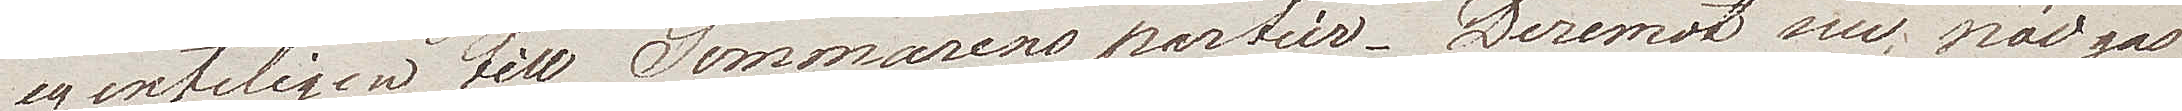egentligen till Sommarens partier. Deremot nu nödgas
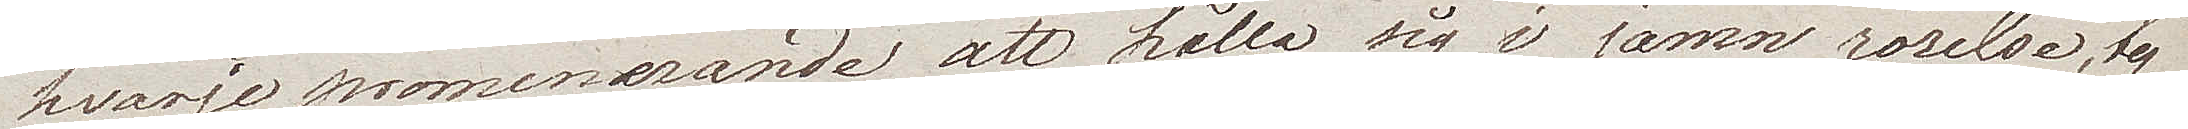hvarje promenerande att hålla sig i jamn rörelse, ty
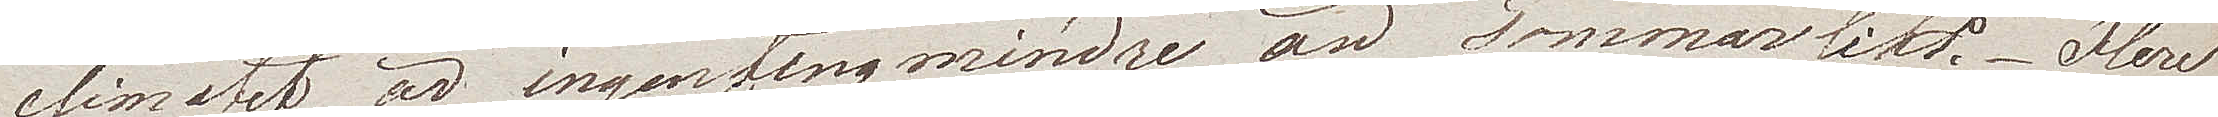climatet är ingenting mindre än sommarlikt. Flere
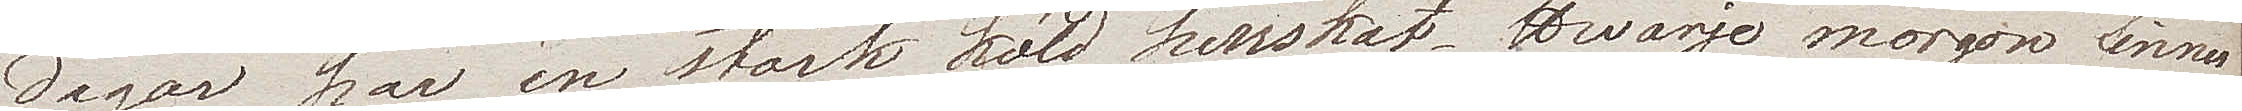dagar har en stark köld herrskat. Hwarje morgon finna
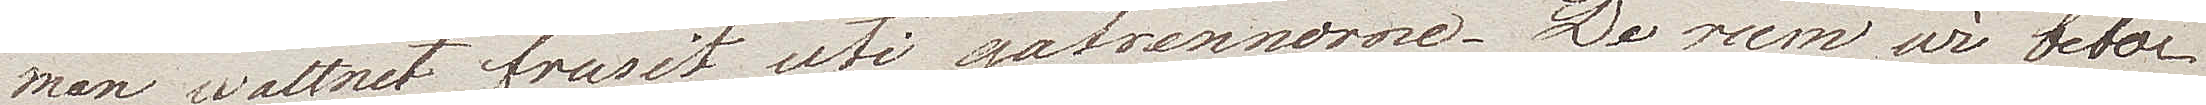man wattnet frusit uti gatrennorne. De rum wi bebor
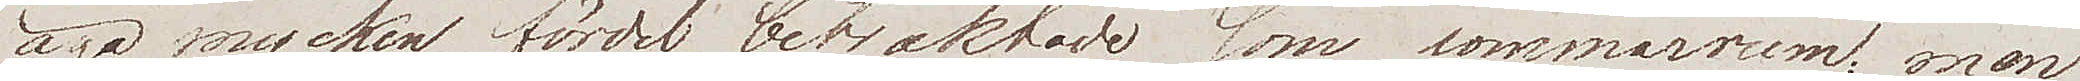äga mycken fördel, betraktade som sommarrum; men
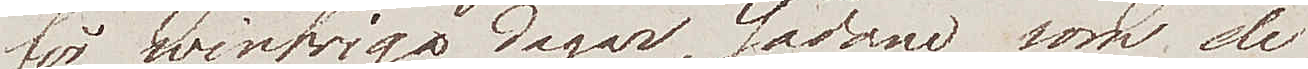för wintriga dagar, sådan som de
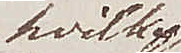hvilka
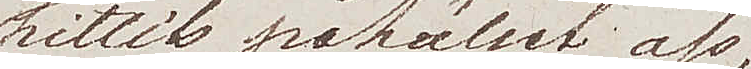hittils påhållet oss,
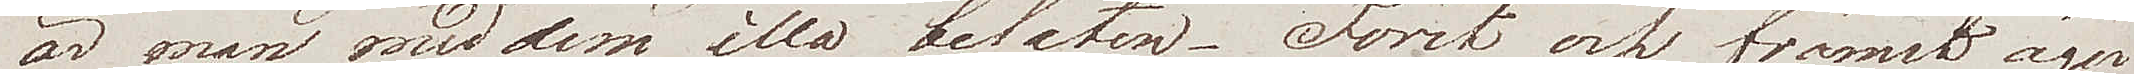är man med dem illa belåten. Först och främst äger
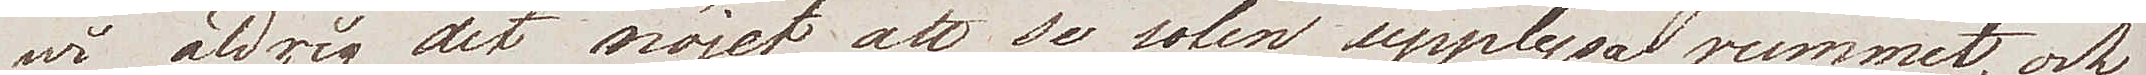wi aldrig det nöjet att se solen upplysa rummet, och
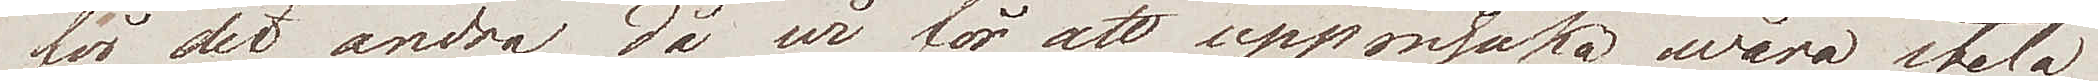för det andra, då wi för att uppmjuka wåra stela
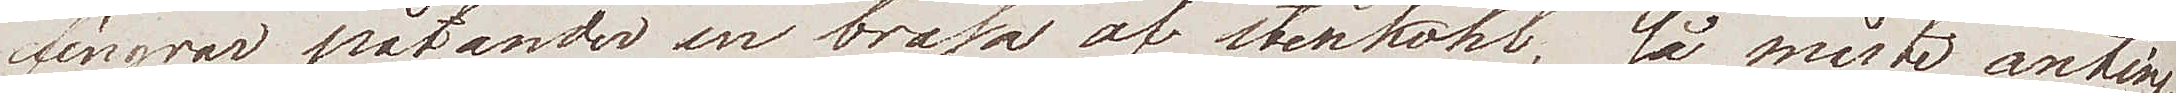fingrar påtänder en brasa af stenkohl, så måste anting¬
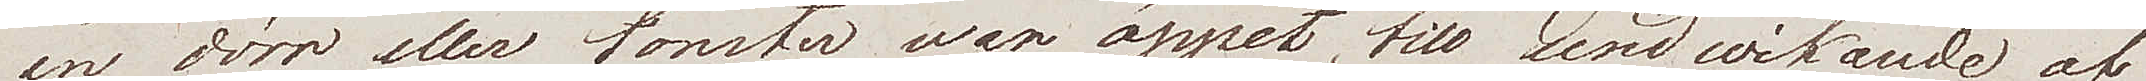en dörr eller fönster war öppet, tills undwikande af
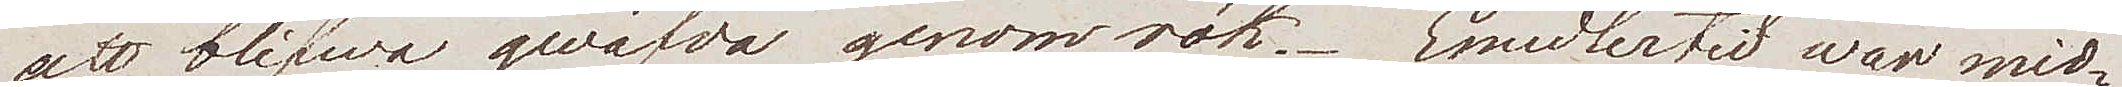att blifwa qwäfda genom rök. Emedlertid war mid¬
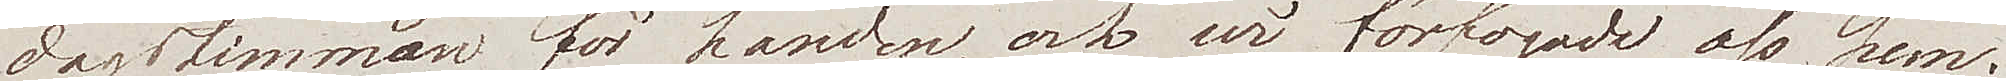dagstimman för handen, och wi förfogade oss hem.
